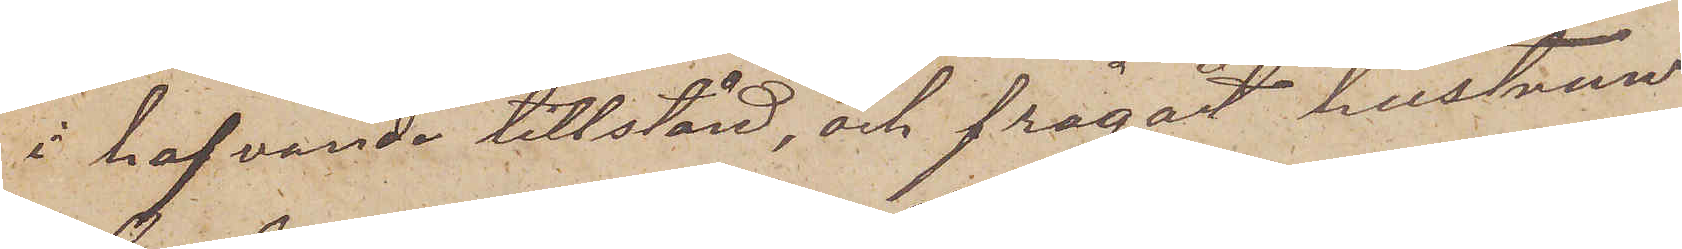i hafvande tillstånd, och frågadt hustrun
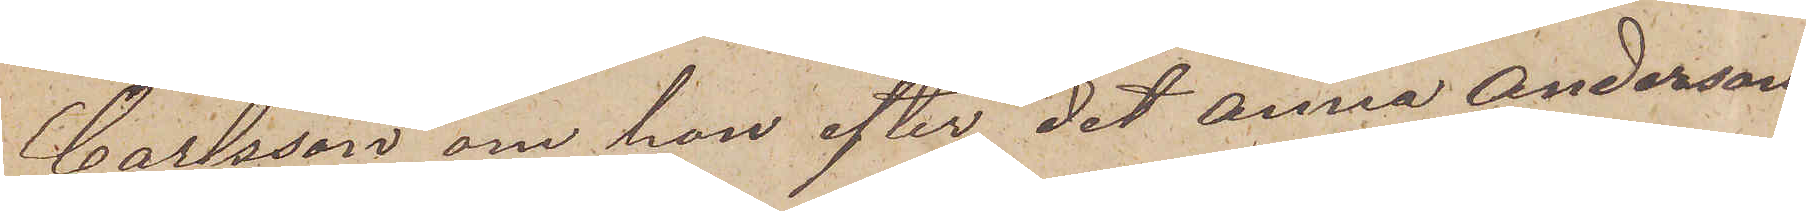Carlsson om hon efter det Anna Andersson
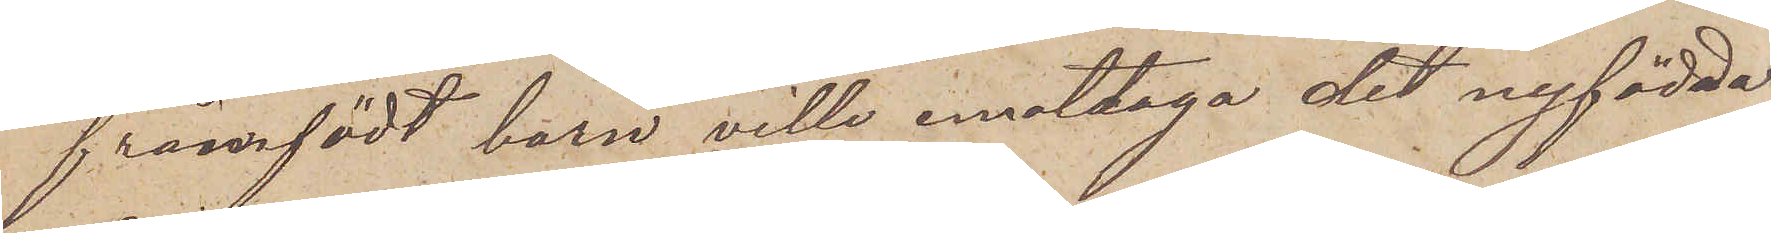framfödt barn ville emottaga det nyfödda
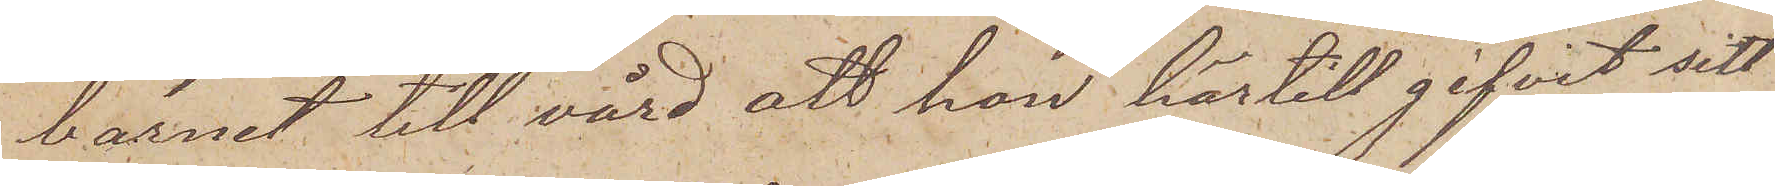barnet till vård att hon härtill gifvit sitt
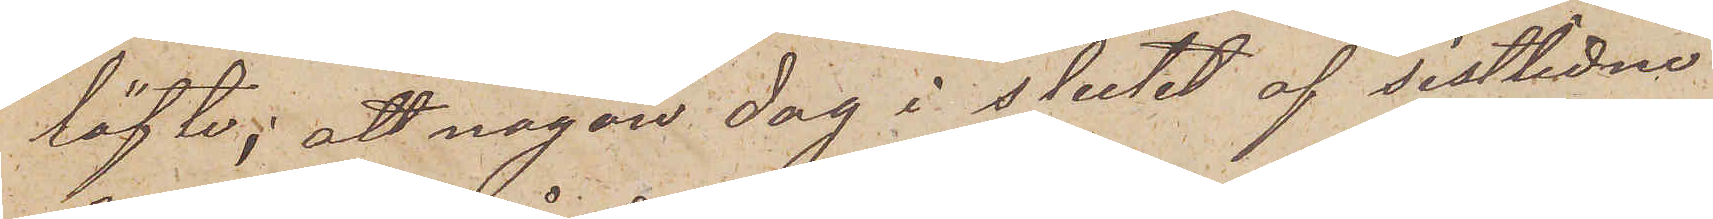löfte; att någon dag i slutet af sistlidne
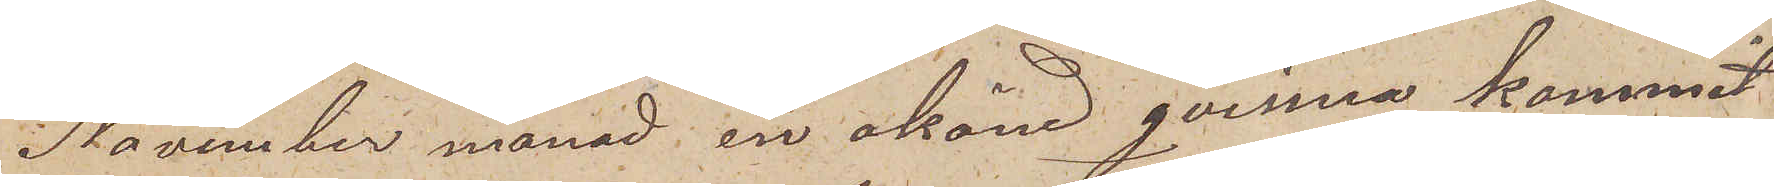November månad en okänd qvinna kommit
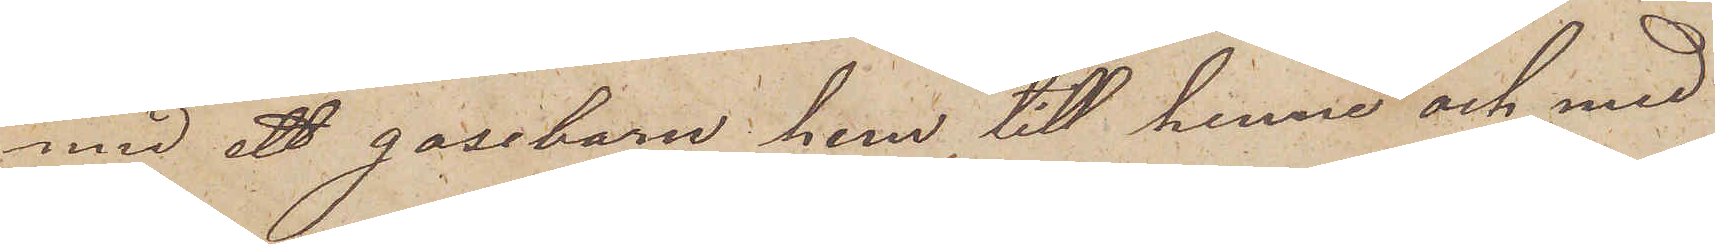med ett gosebarn hem till henne och med
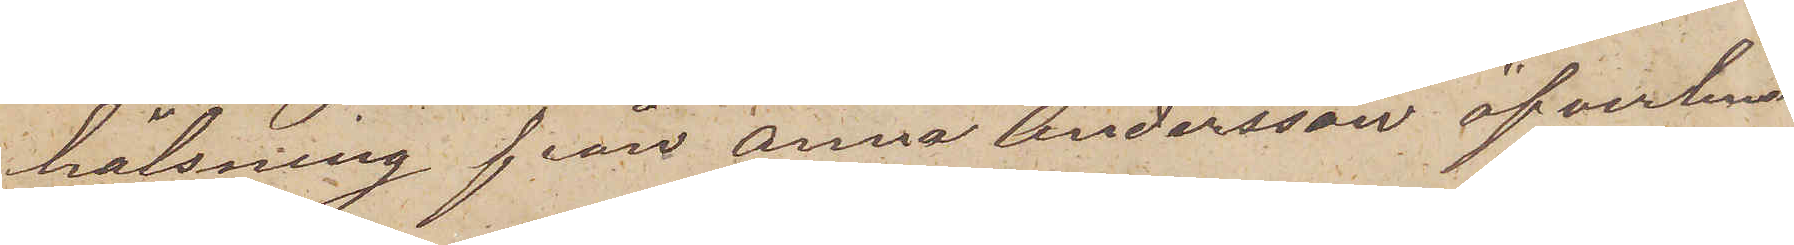hälsning från Anna Andersson öfverlem¬
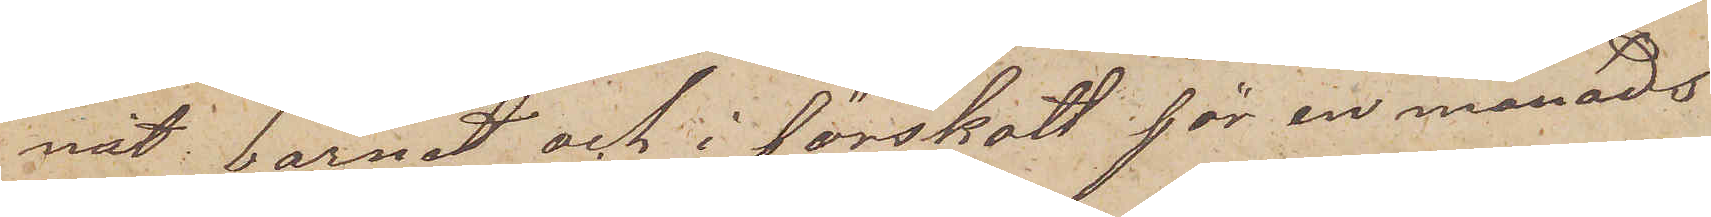nat barnet och i förskott för en månads
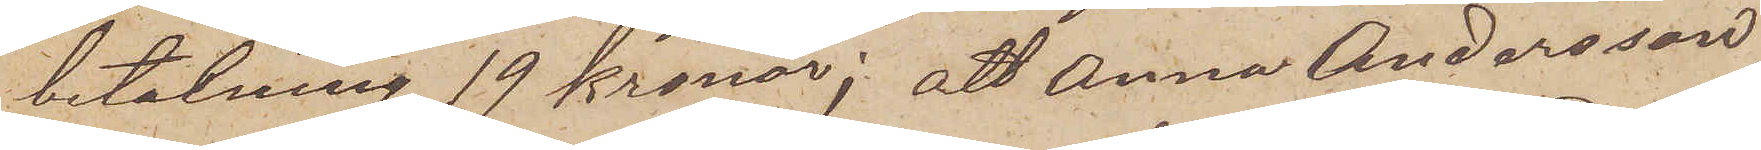betalning 19 kronor; att Anna Andersson
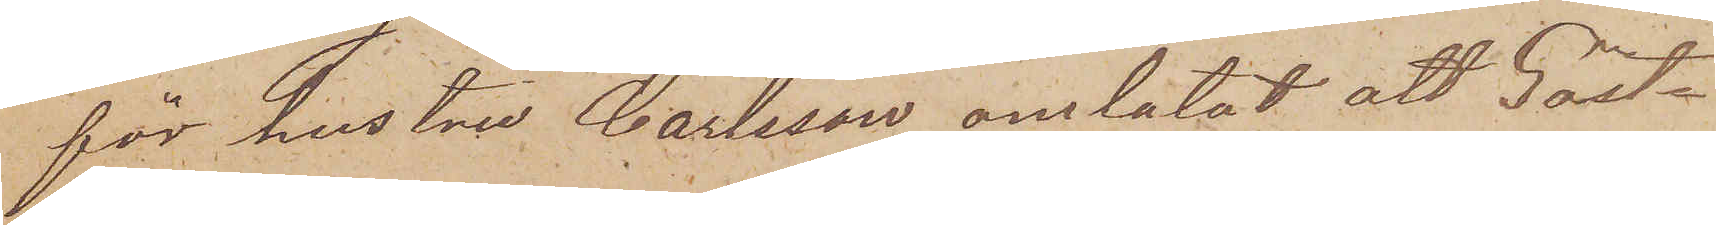för hustru Carlsson omlatat att Gäst¬
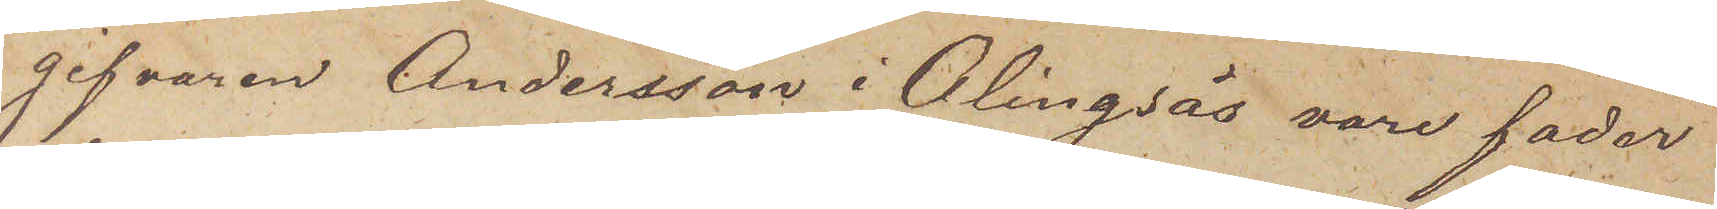gifvaren Andersson i Alingsås vore fader
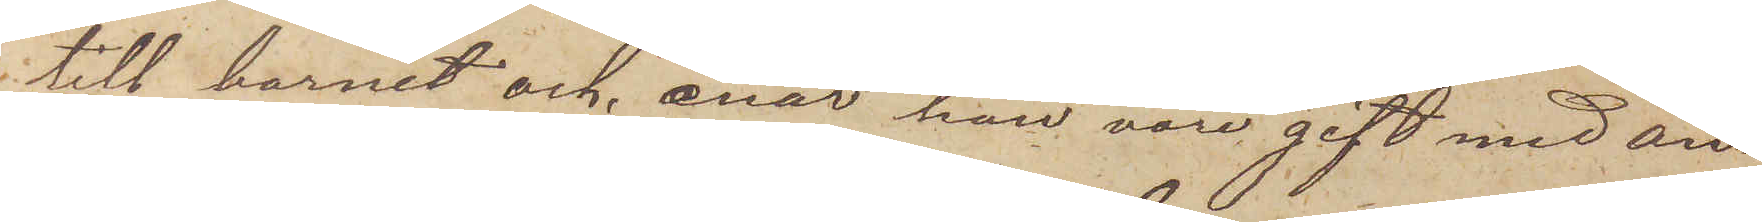till barnet och enär han vore gift med an¬
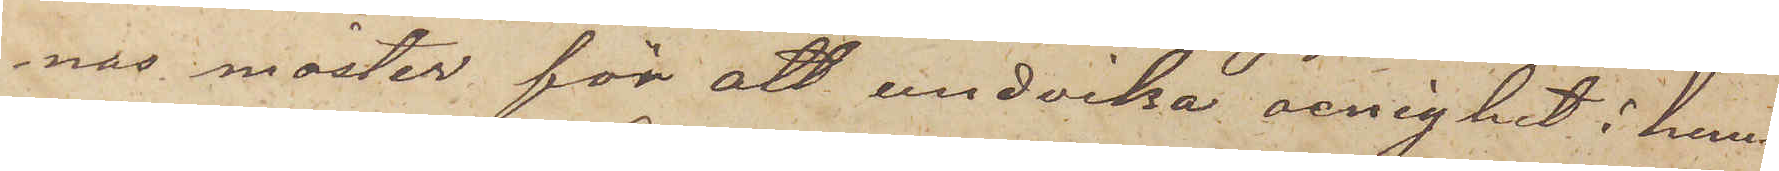nas moster för att undvika oenighet i hem¬
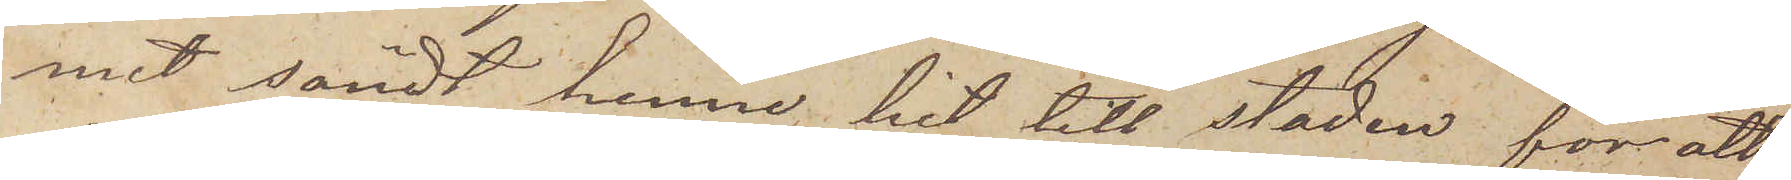met sändt henne hit till staden för att
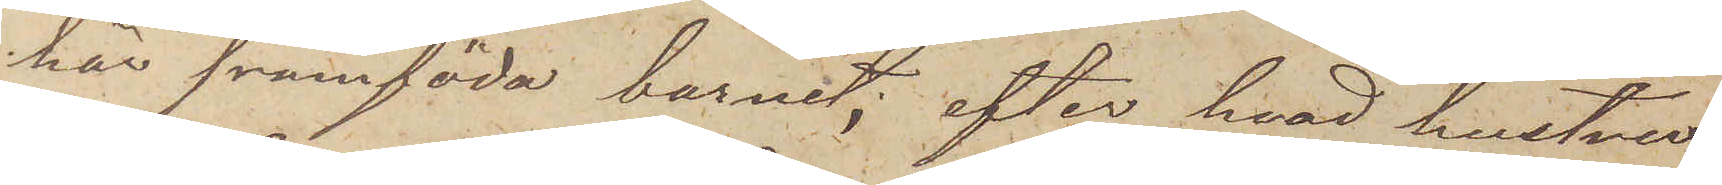här framföda barnet; efter hvad hustru
